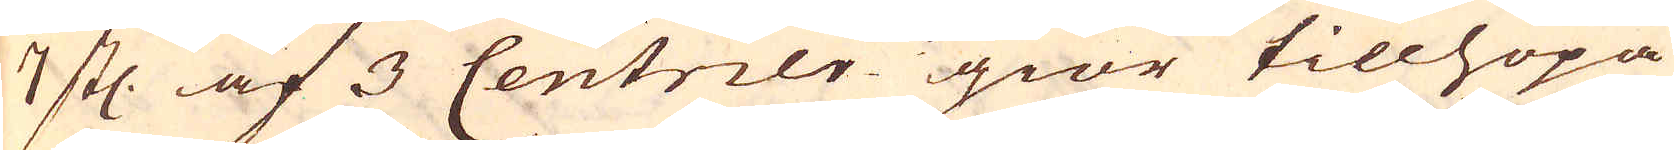7 stl: af 3 Centner giör tillhopa
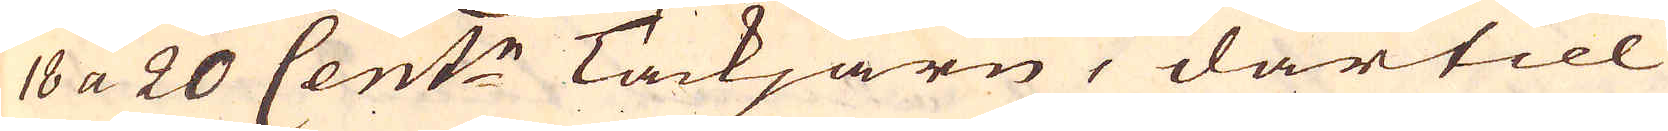18 a 20 Cent:r Tackjärn, därtill
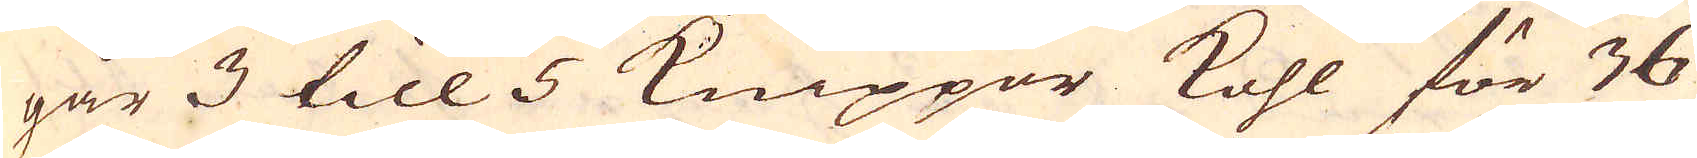går 3 till 5 Knippor kohl för 36
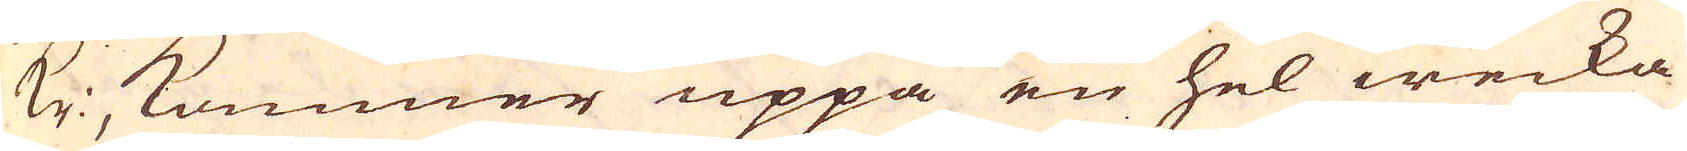kr kommer uppå en hel wecka
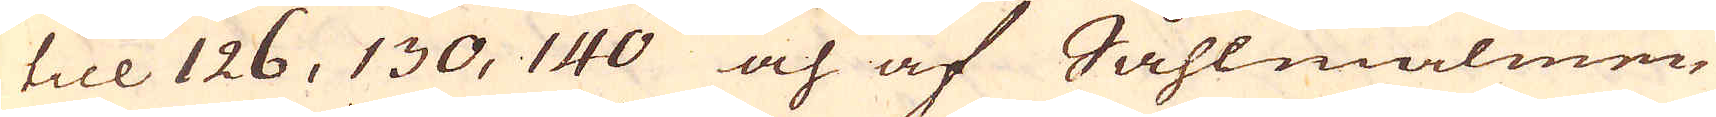till 126, 130, 140 och af Såhlmalmen
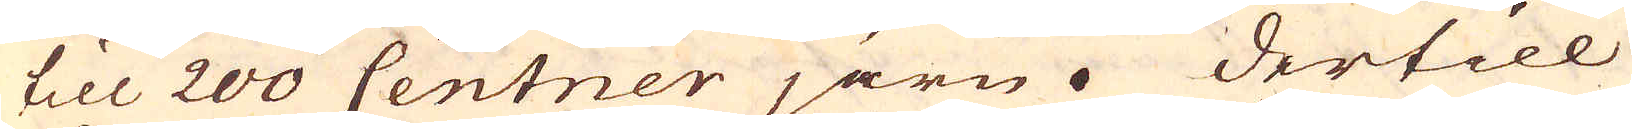till 200 Centner järn. Dertill
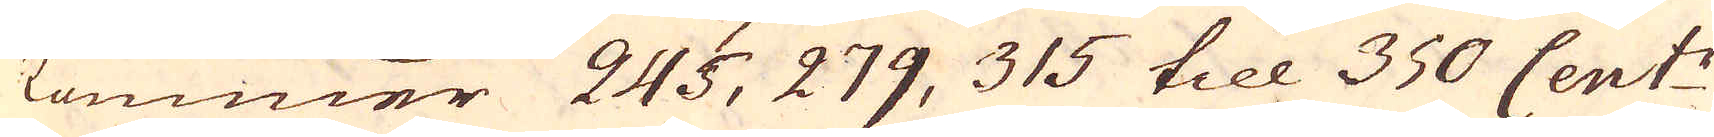kommer 245, 279, 315 till 350 Cent:r
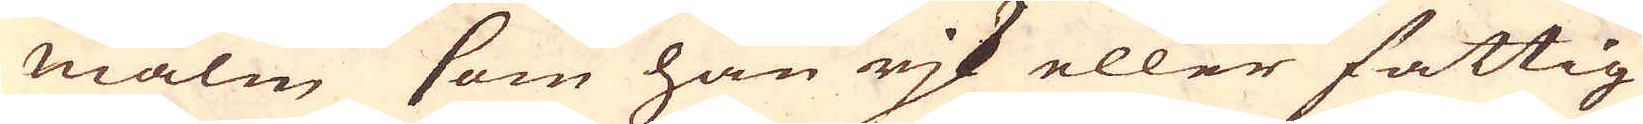malm som han rjk eller fattig
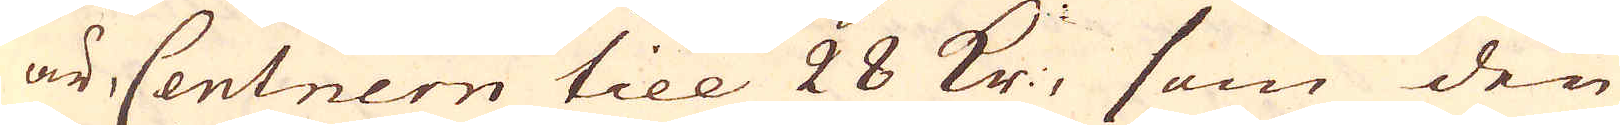är, Centnern till 28 kr, som den
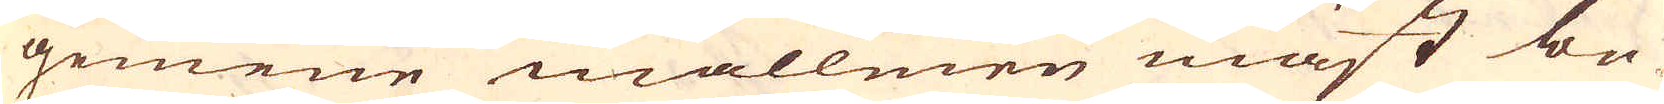gemene mallmen mäst be-
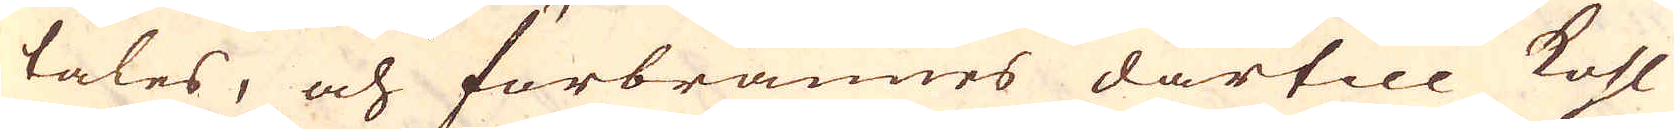tales, och förbrännes därtill kohl
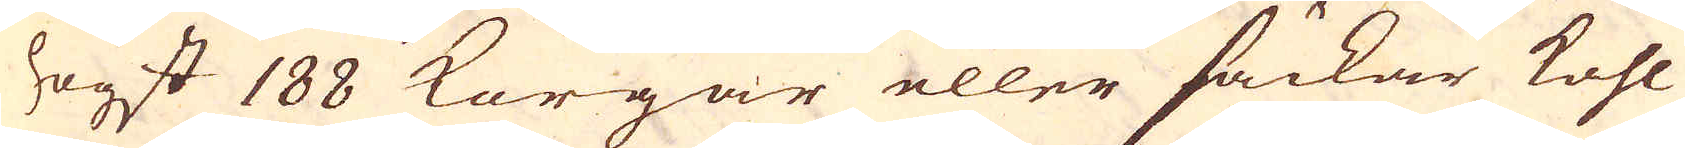högst 188 Korgar eller säckar kohl
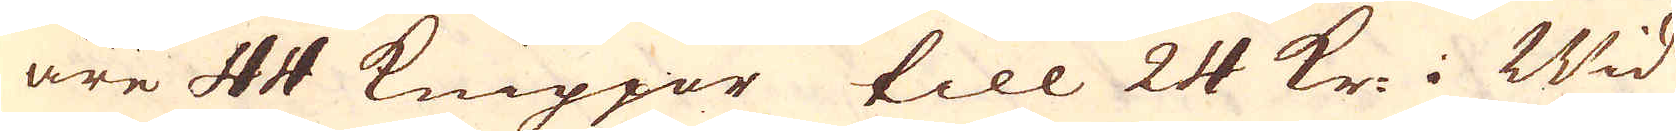äre 44 Knippor till 24 kr i Wid
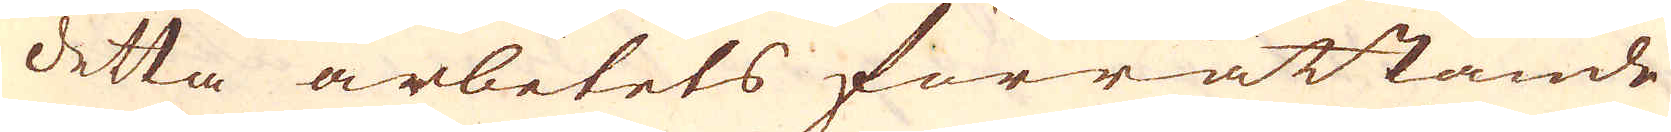detta arbetets förrättande
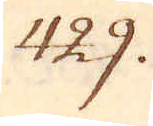429.
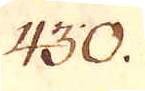430.
